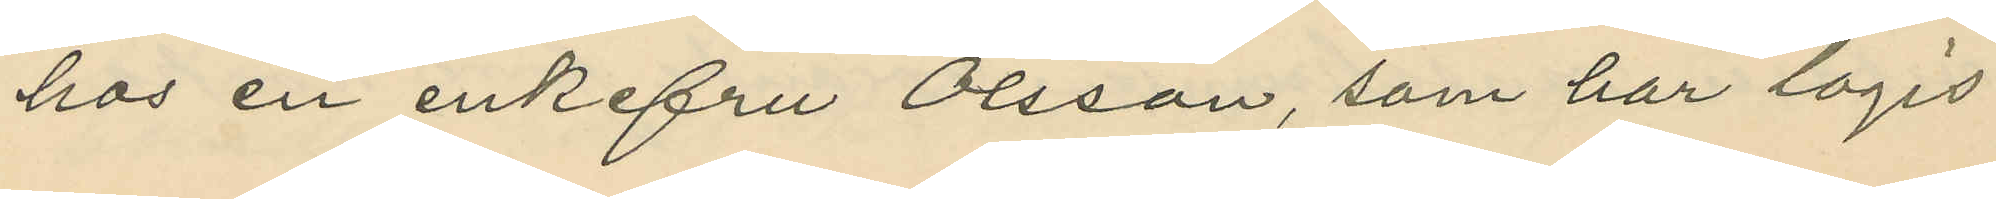hos en enkefru Olsson, som har logis
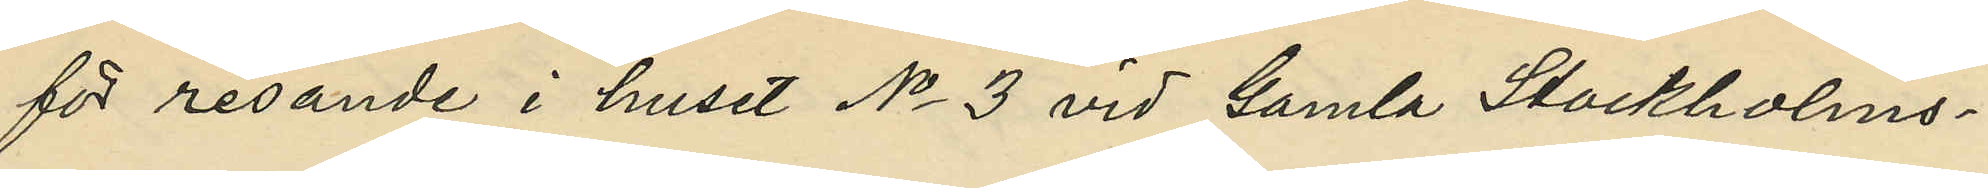för resande i huset No 3 vid Gamla Stockholms¬
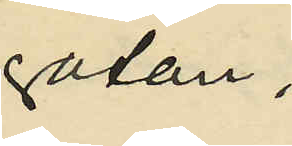gatan;
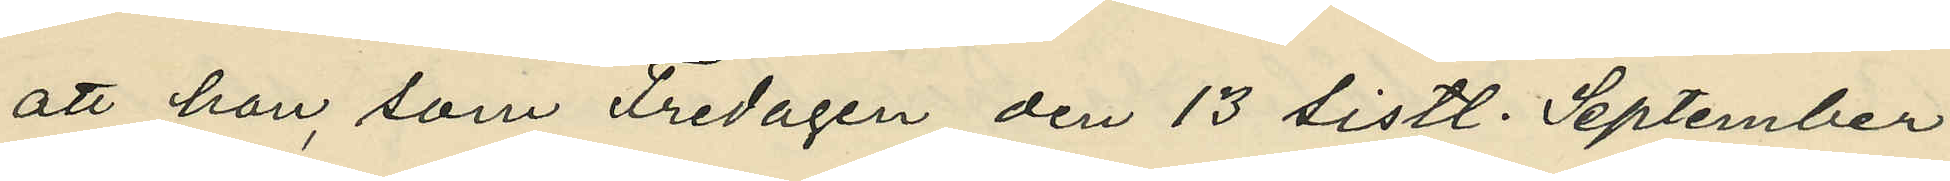att han, som Fredagen den 13 sistl. September
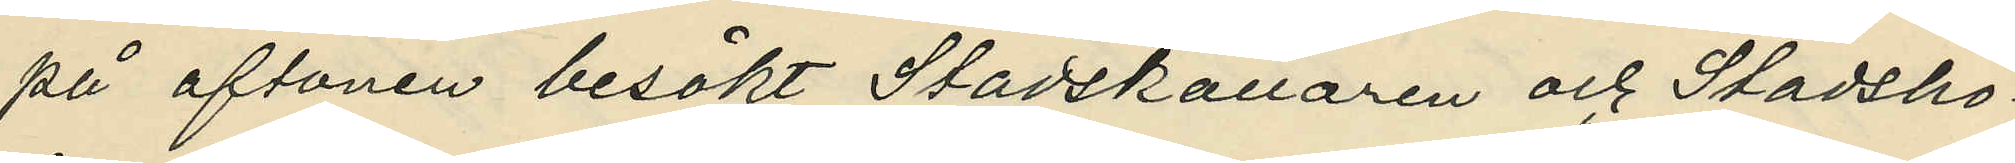på aftonen besökt Stadskällaren och Stadsho¬
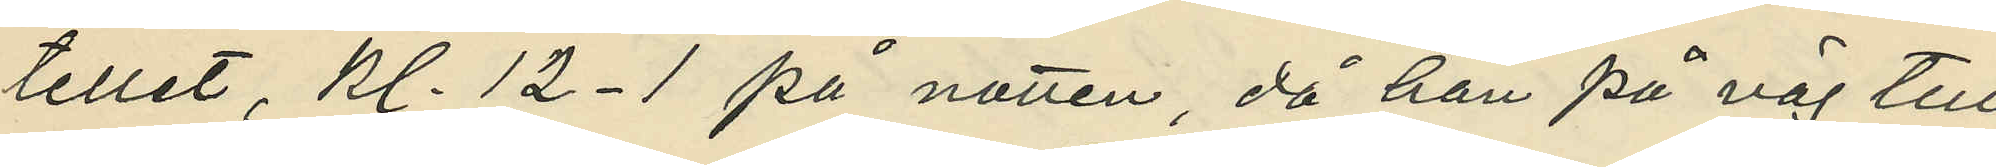tellet, kl. 12-1 på natten, då han på väg till
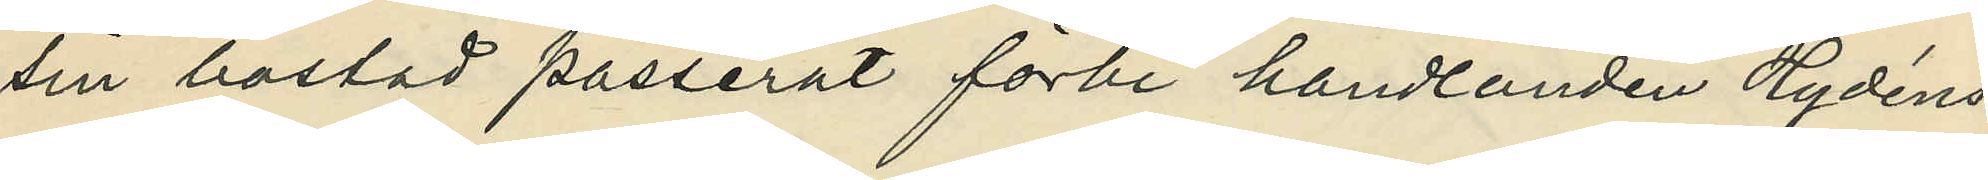sin bostad passerat förbi handlanden Hydéns
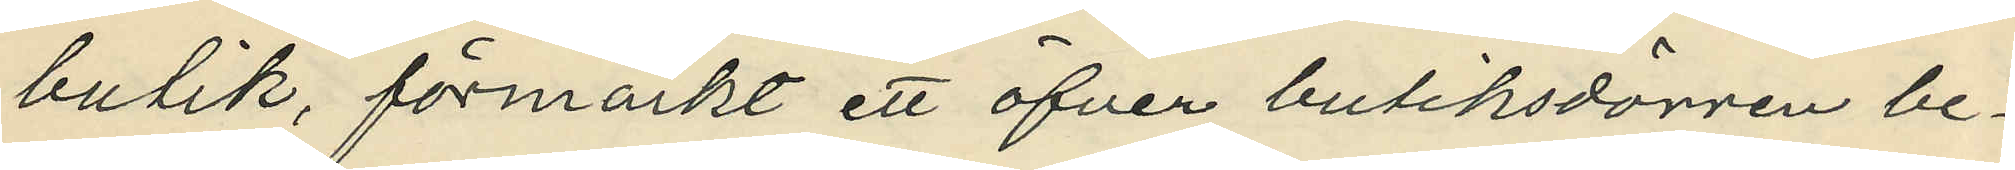butik, förmärkt ett öfver butiksdörren be¬
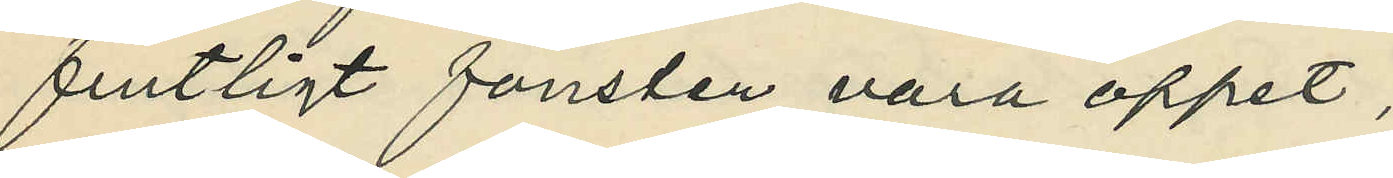fintligt fönster vara öppet;
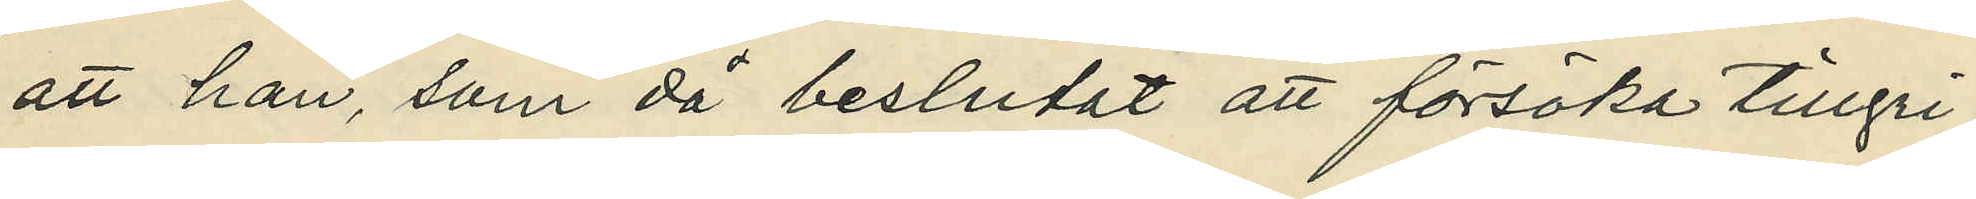att han, som då beslutat att försöka tillgri¬
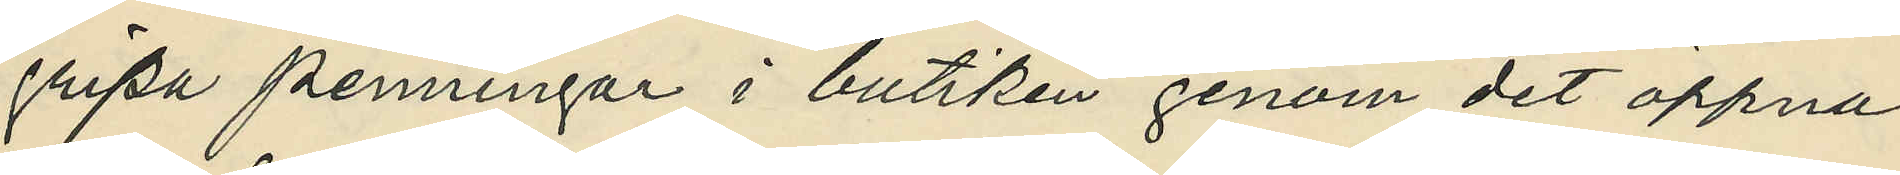gripa penningar i butiken genom det öppna
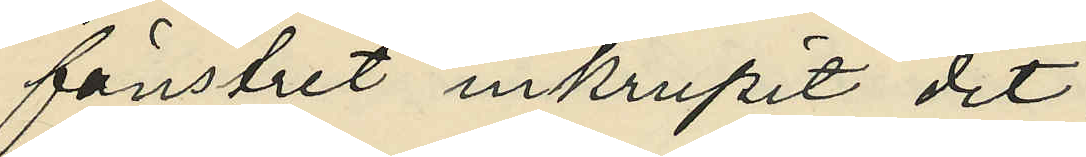fönstret inkrupit dit;
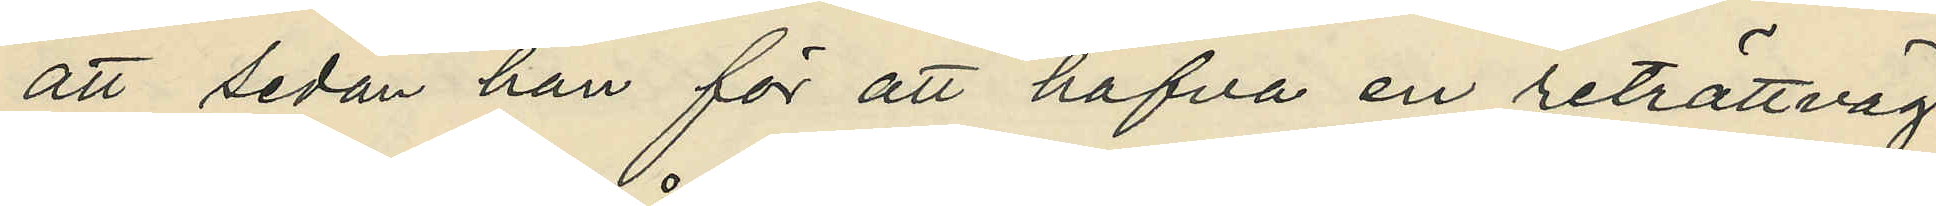att sedan han för att hafva en reträttväg
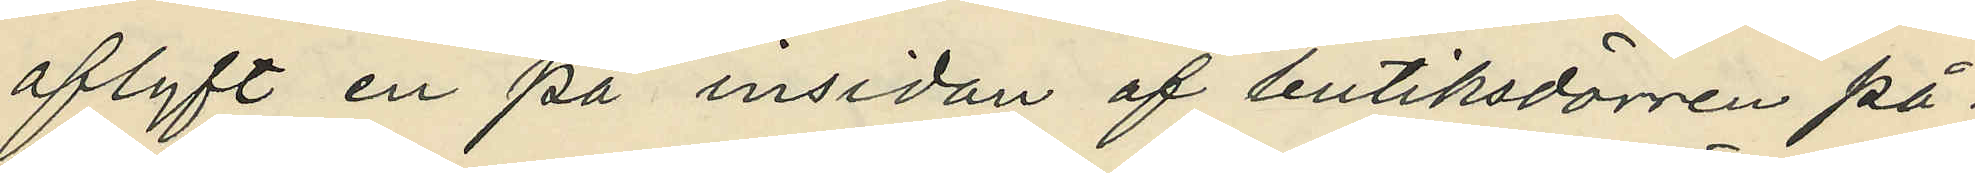aflyft en på insidan af butiksdörren på¬
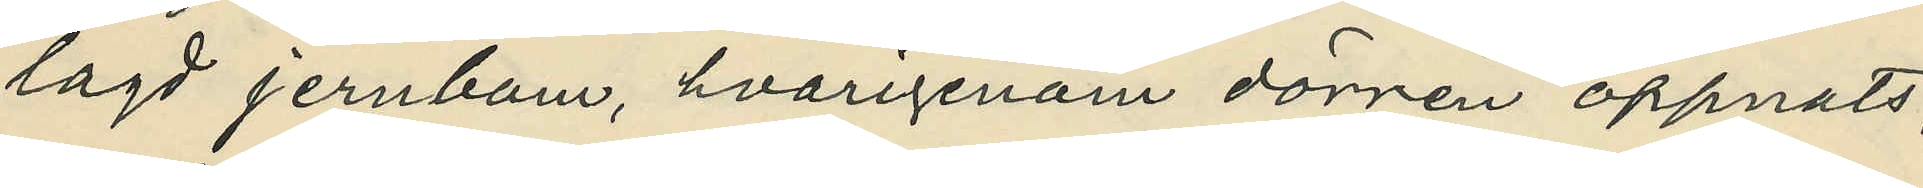lagd jernbom, hvarigenom dörren öppnats,
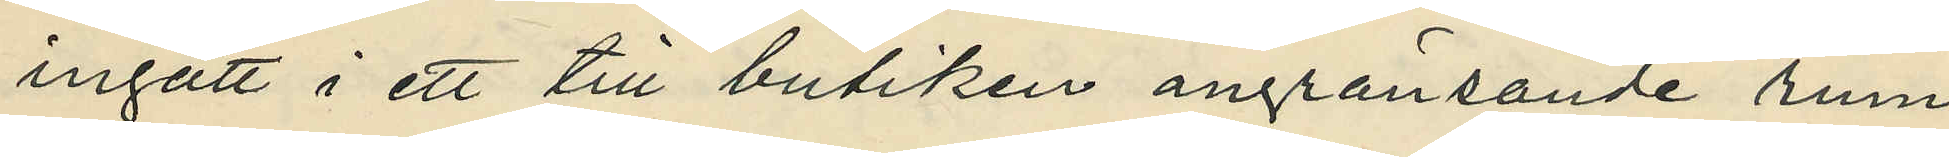ingått i ett till butiken angränsande rum
